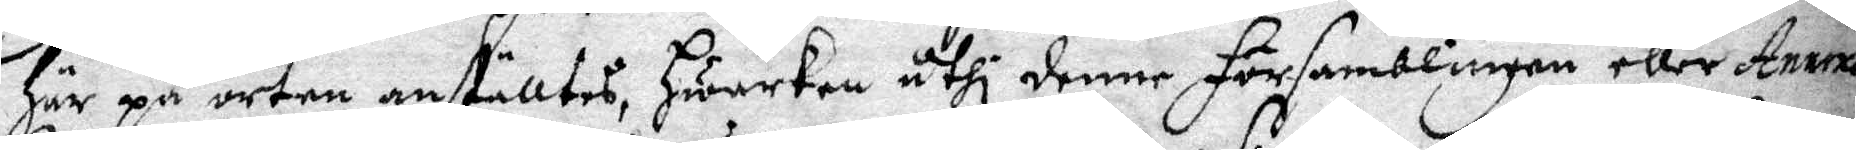här på orten anställdes, hwarken uthi denne församblingen eller Annexa
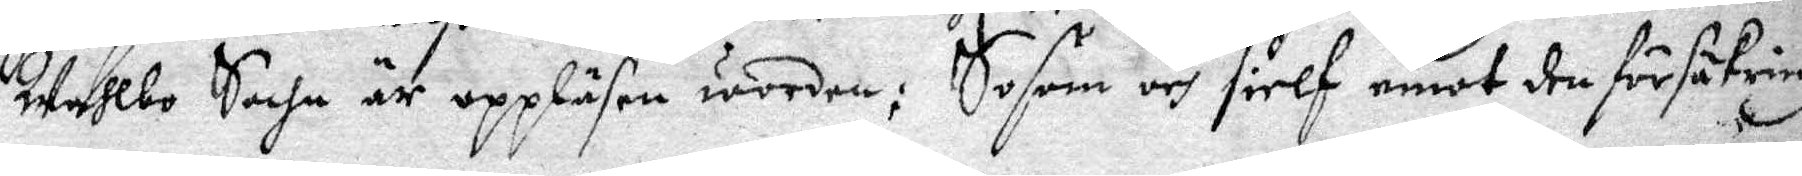Wahlbo Sochn är uppläsen worden; Sosom och sielf emot den försäkring
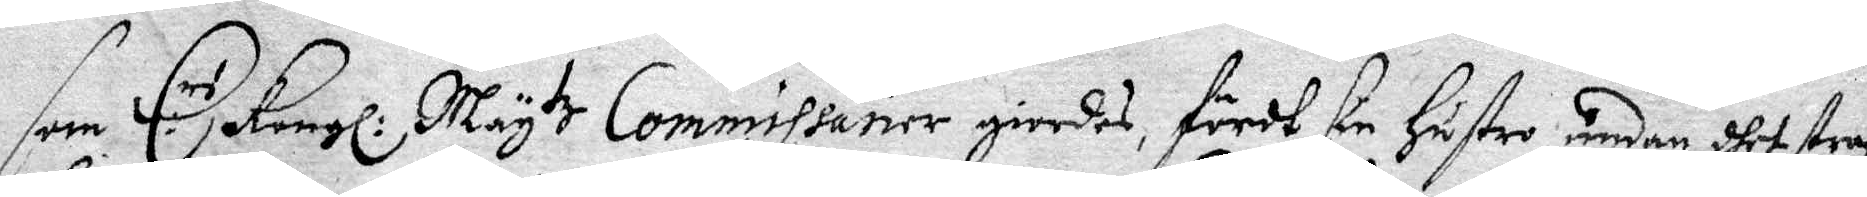som E:rs Kongl: May tz Commissarier giordes, fördt sin hustru undan dhet straff
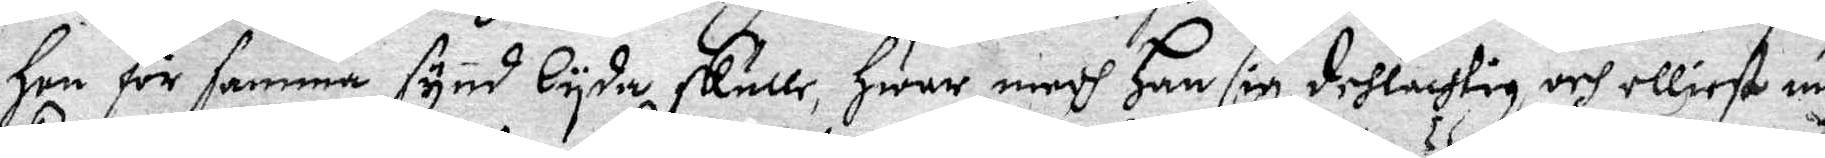hon för samma synd lyda skulle, hwar medh han sig delachtig och elliest myc¬
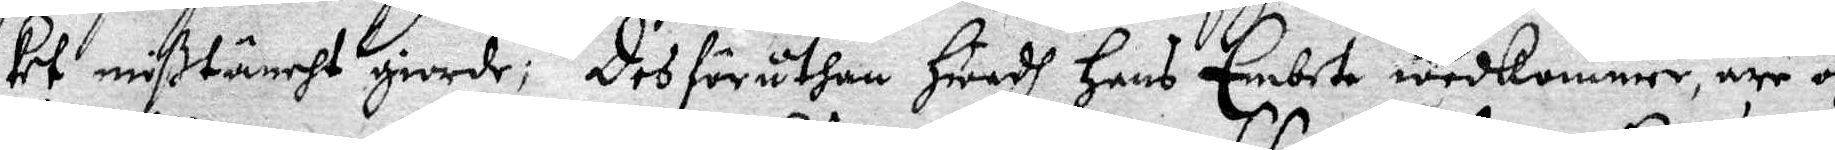ket mißtäncht giorde; Des föruthan hwadh hans Embete wedkommer, äre och
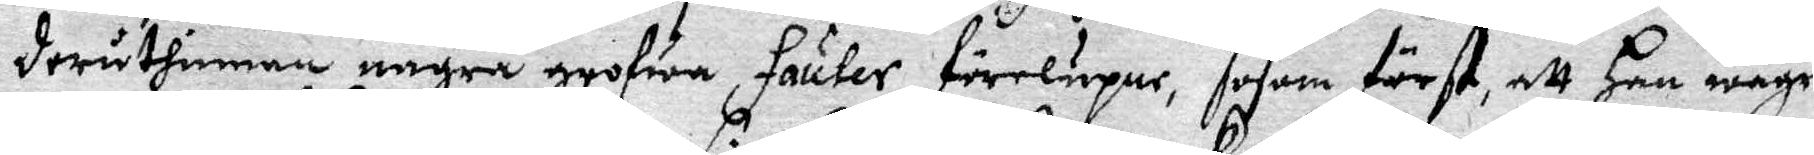deruthinnan några grofwa Fauter förelupne, såsom förts att han wägrat
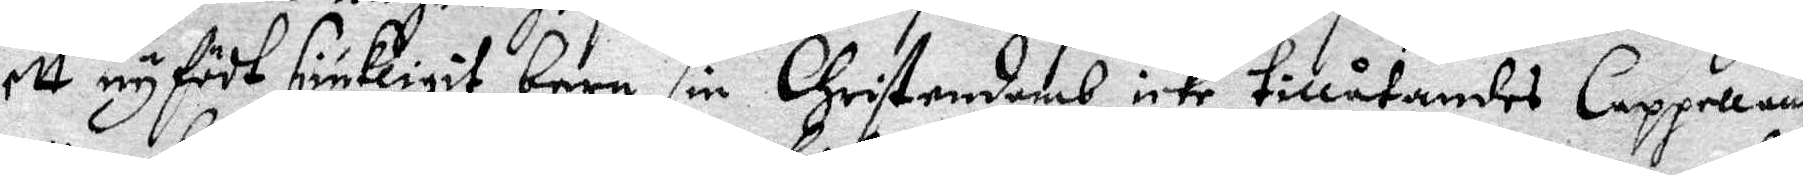ett nyfödt siukligit barn sin Christendomb, icke tillåtandes Cappellanen
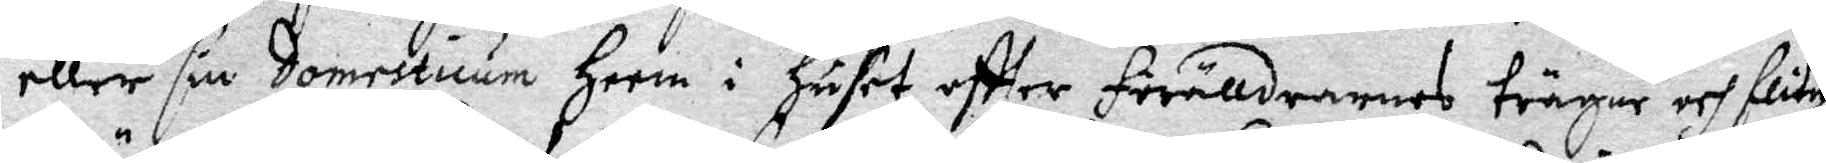eller sin Domesticum heem i huset eftter förälldrarnas trägne och flitige
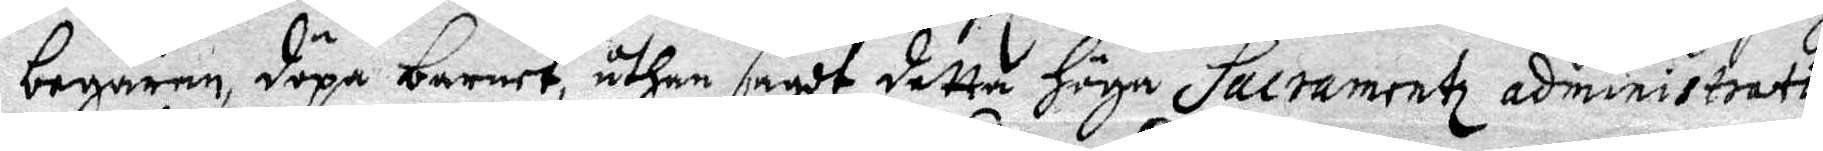begäran, döpa barnet, uthan sagdt detta höga Sacramentz administration
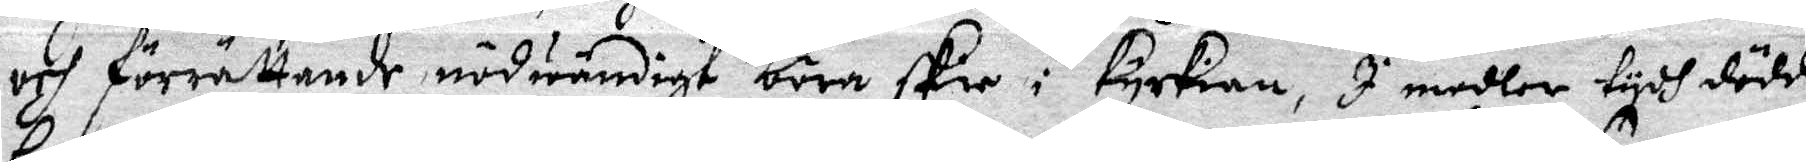och förrättande nödvändigt böra skie i kyrkian, I medler tydh dödde
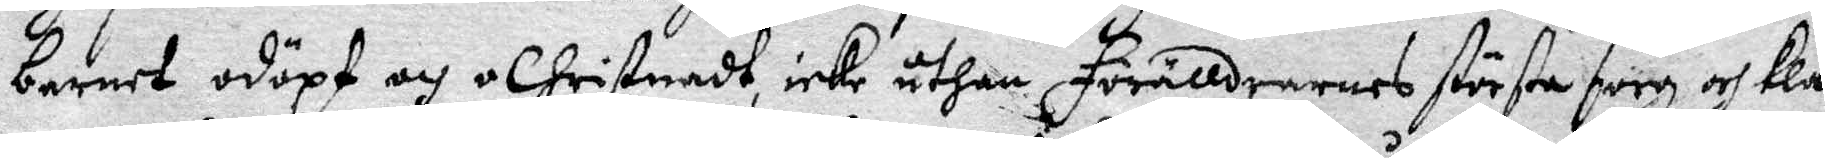barnet odöpt och oChristandt, icke uthan förälldrarnas största sorg och kla¬
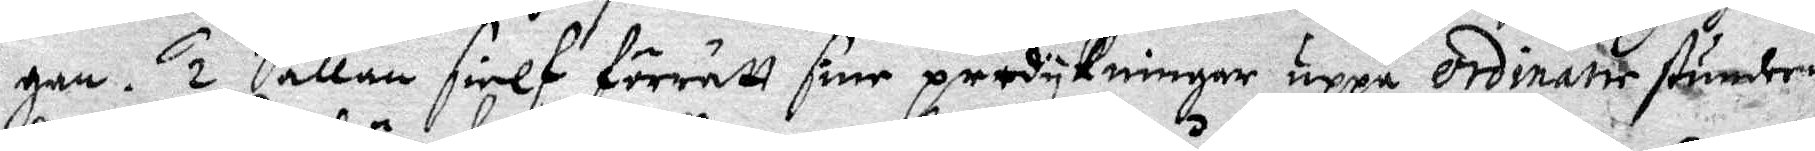gan. 1. Sällan sielf förrätt sine predykningar uppå Ordinarie stunden
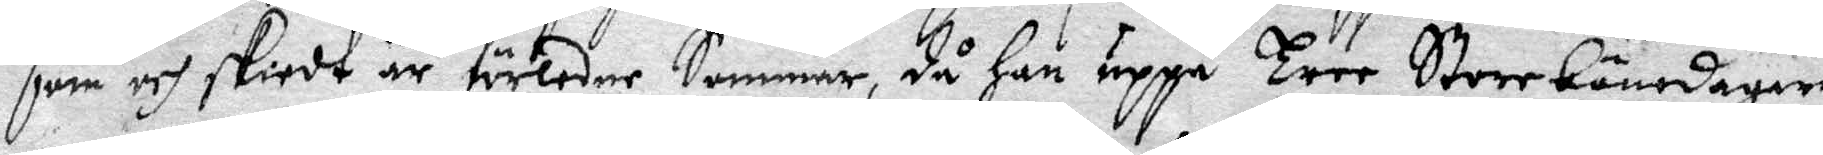som och skiedt är förledne Sommar, då han uppå Tree Storebönedagar
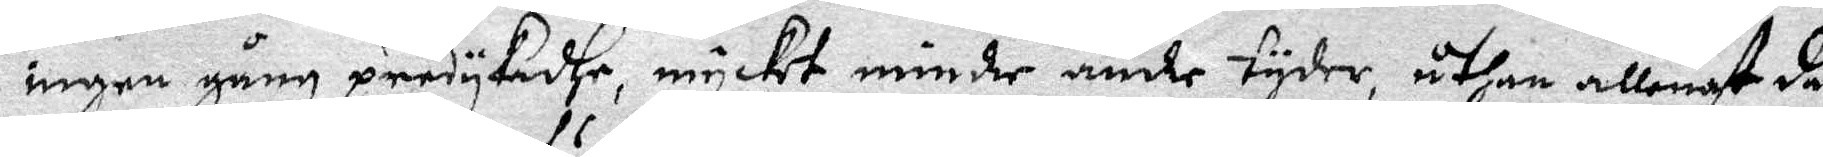ingen gång predykadhe, mycket mindre under tyder, uthan allenast då
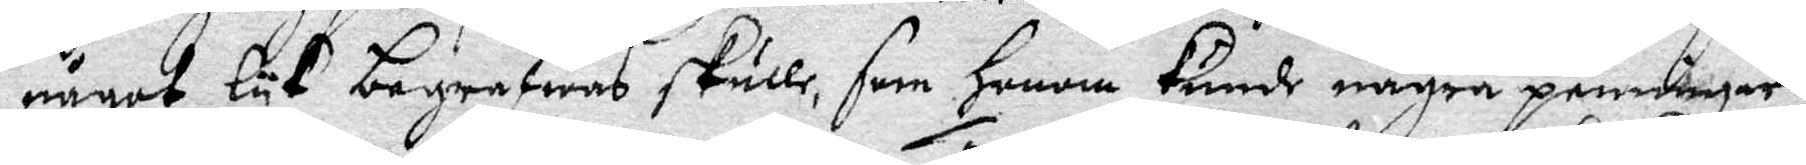något lyk begrafwas skulle, som honom kunde några penningar
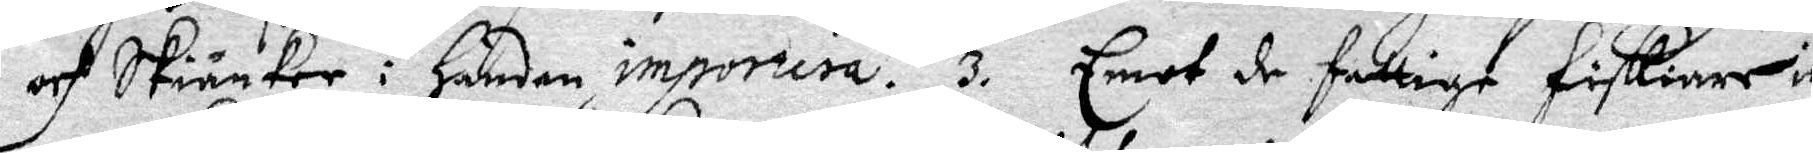och skiänker i handen importera. 3. Emot de fattige fiskiare in¬
